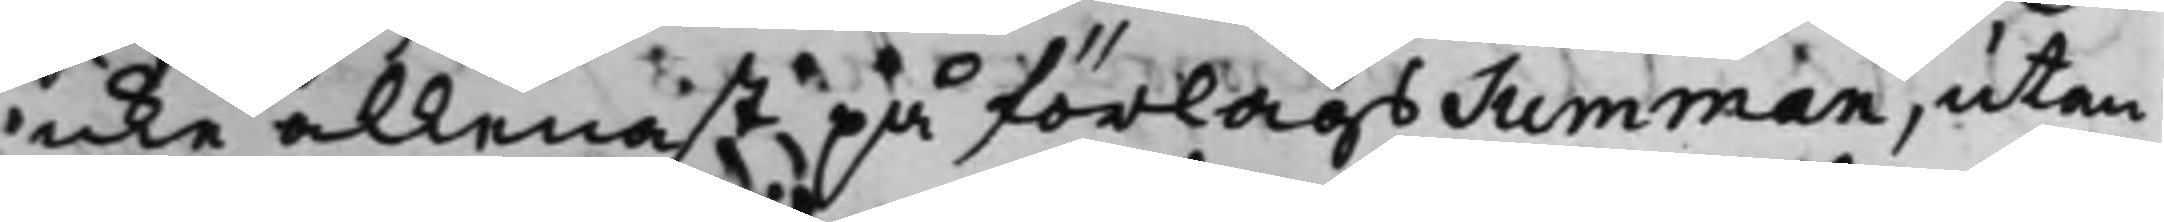icke allenast på förlags Summan, utan
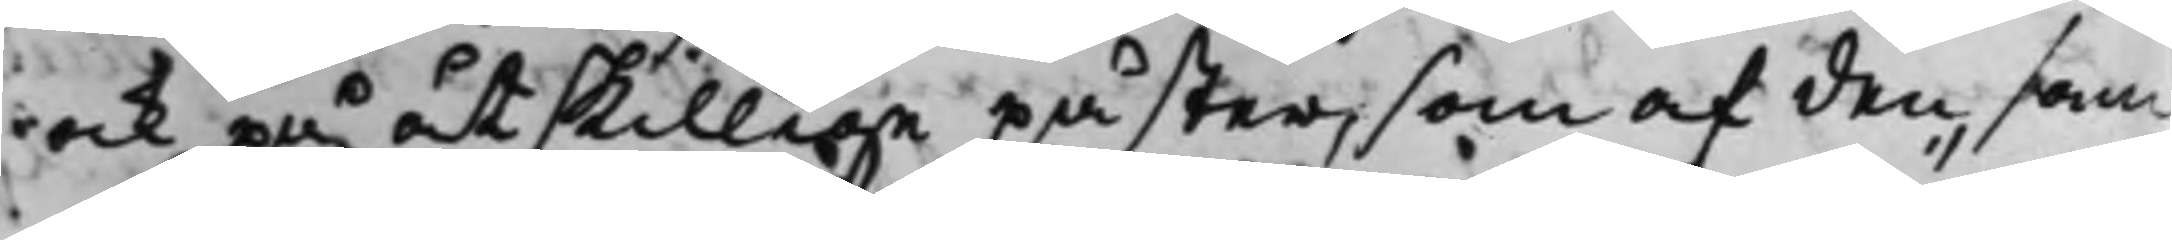ock på åtskillige påster, som af den sam¬
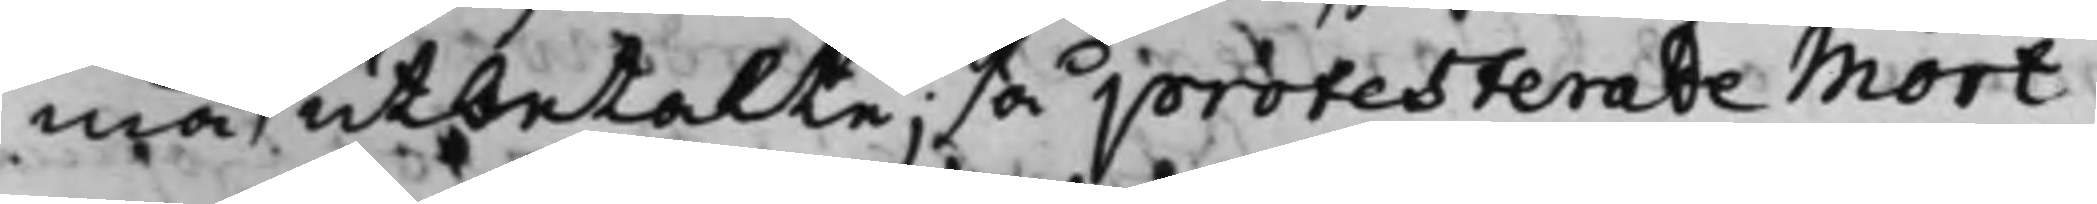ma utbetalte, så protesterade Mört
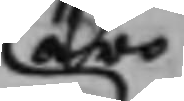äro
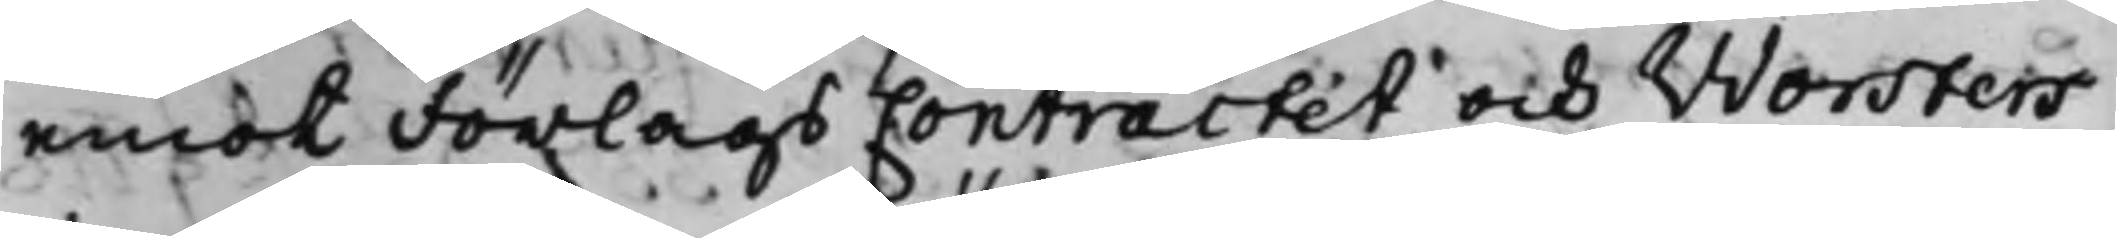emot Förlags Contractet och Worsters
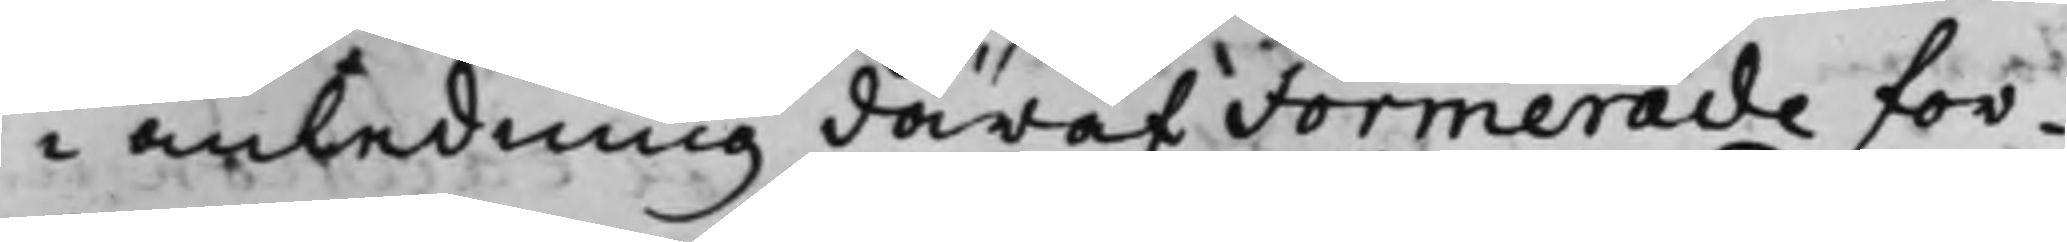i anledning däraf Formerade for¬
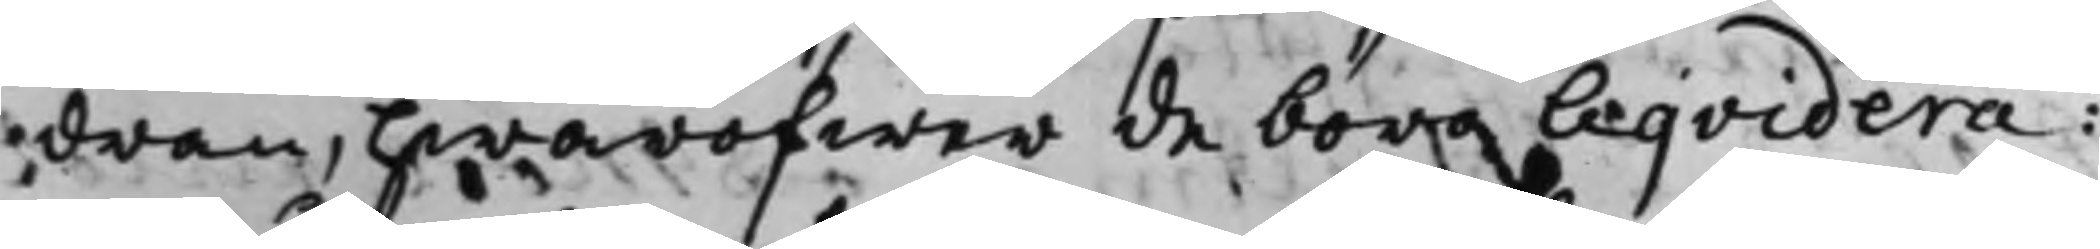dran, hwaröfwer de böra Liqvidera:
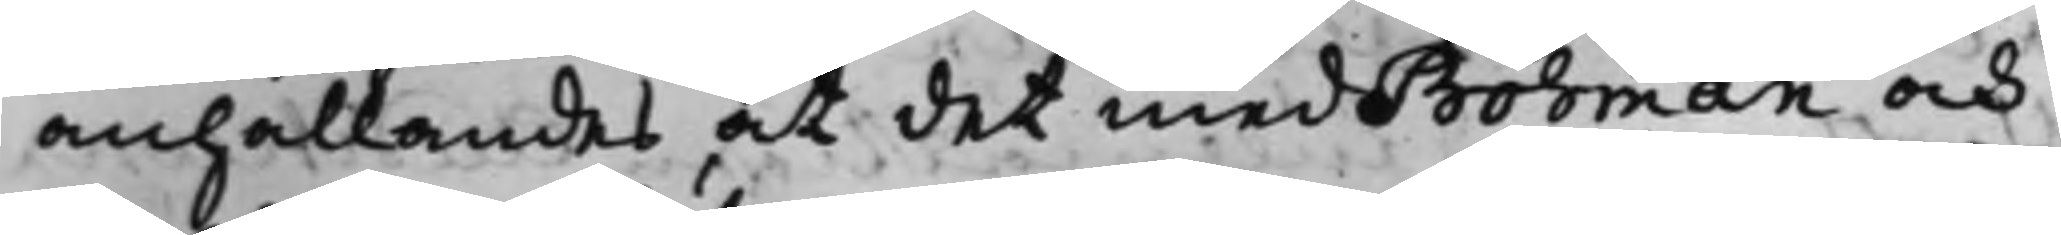anhållandes at det med Bohman och
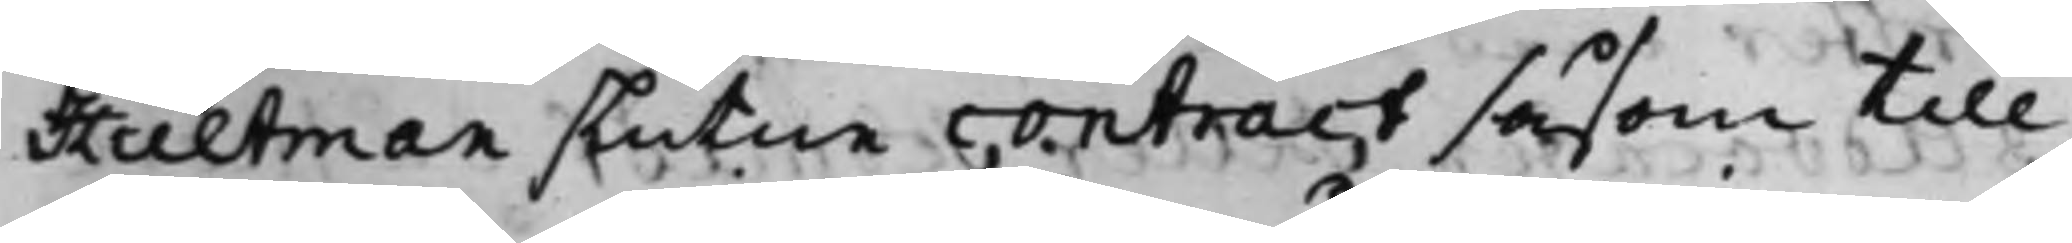Hultman slutne contract såsom till
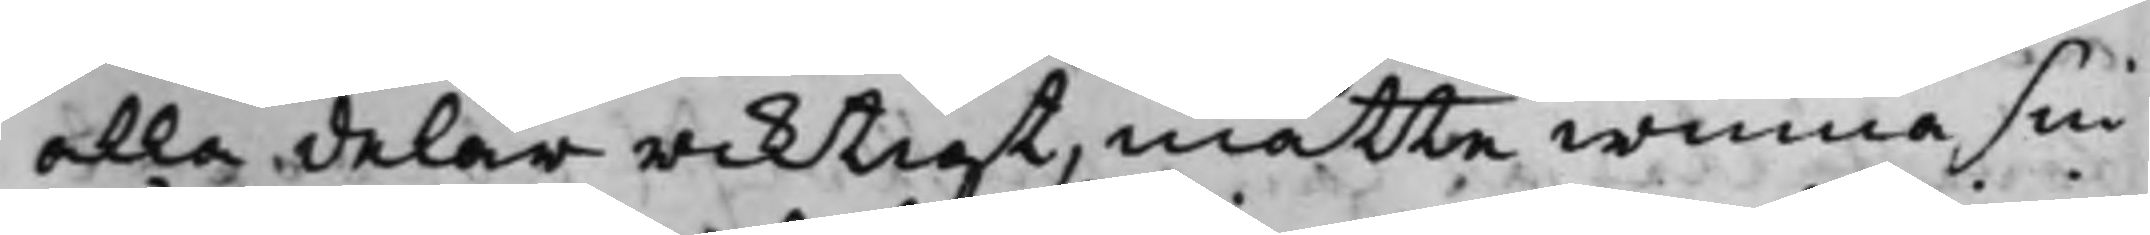alla delar riktigt, måtte winna sin
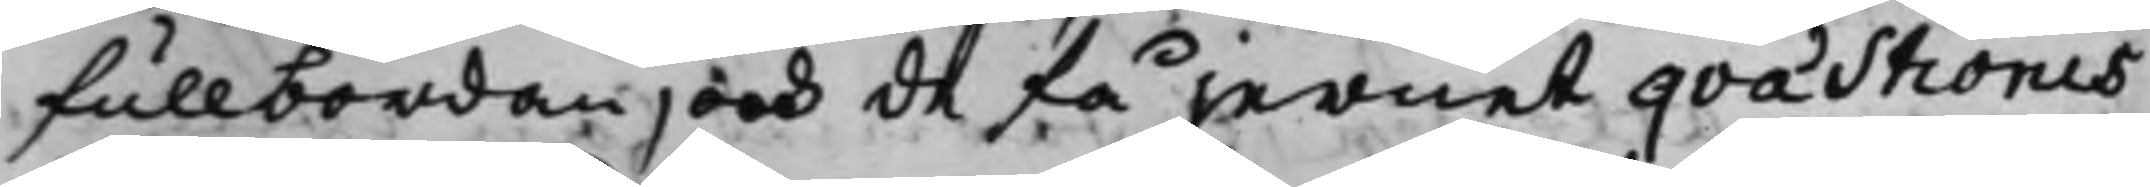fullbordan, och de få jernet qvästionis
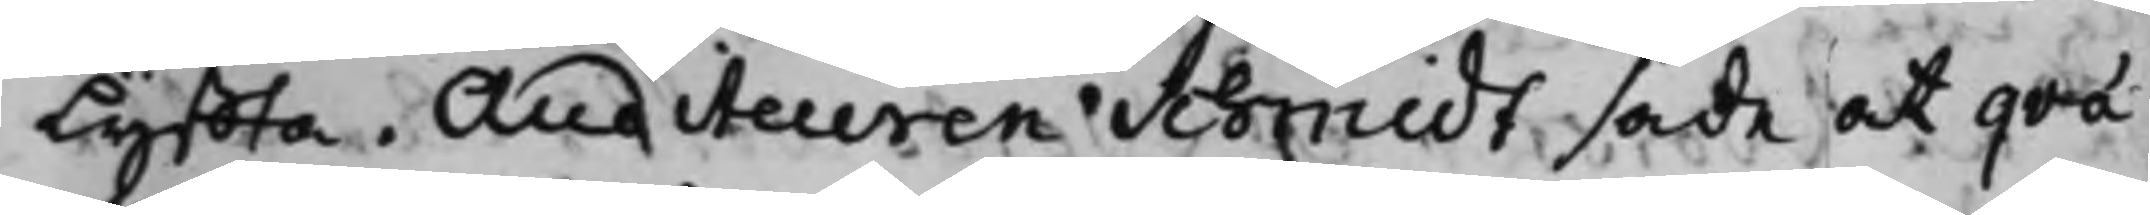lyffta. Auditeuren Schmidt sade at qvä¬
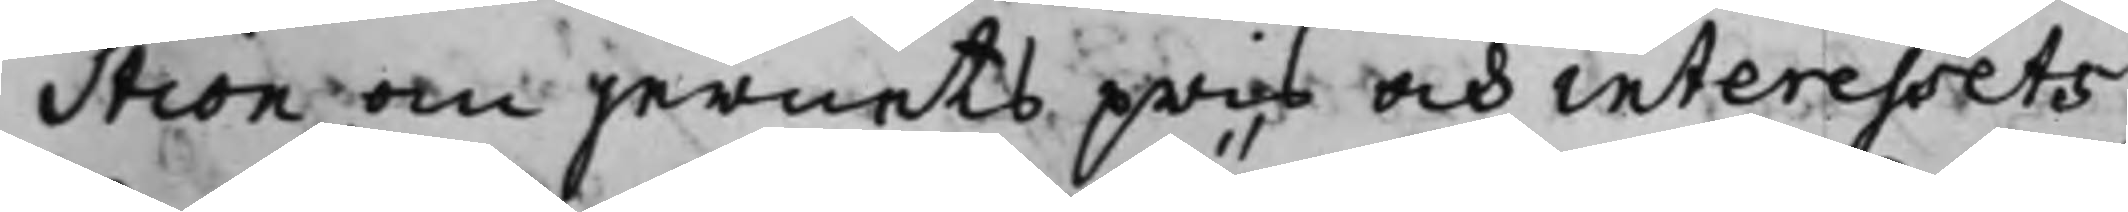stion om jernets pris och interessets
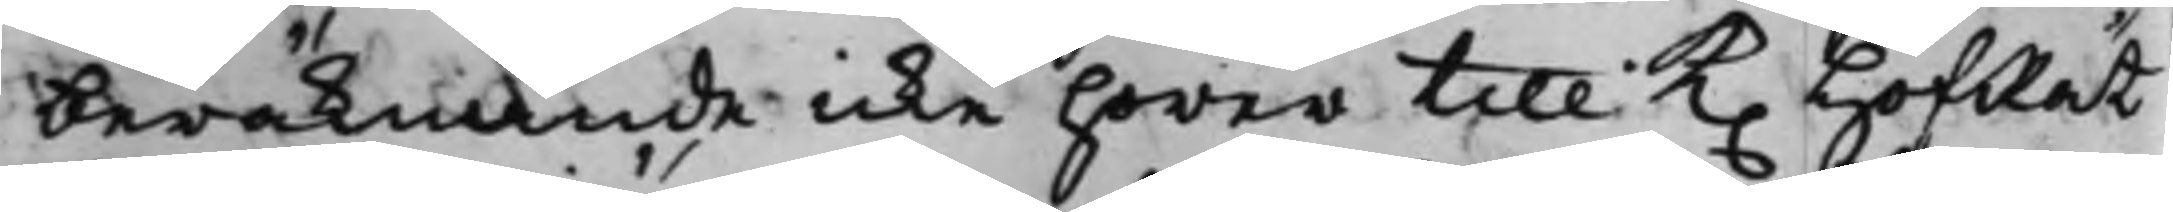beräknande icke hörer till K. HofRät¬
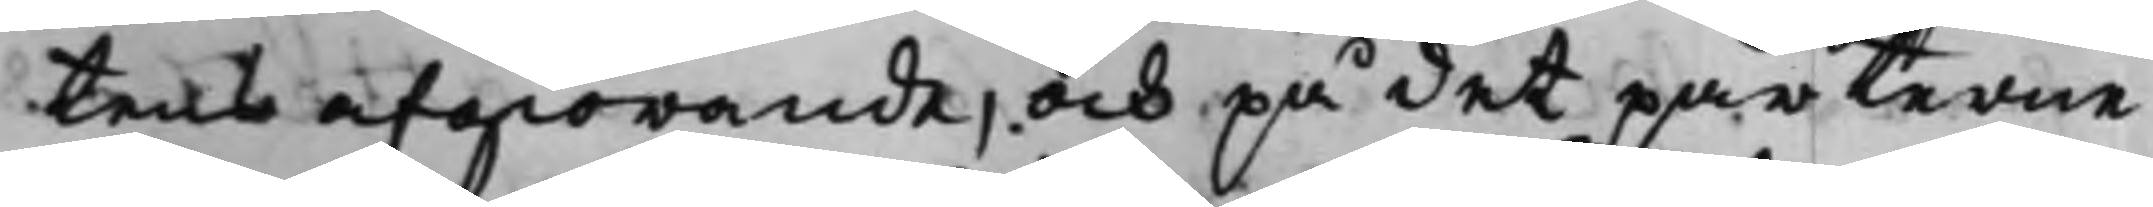tens afgiörande, och på det parterne
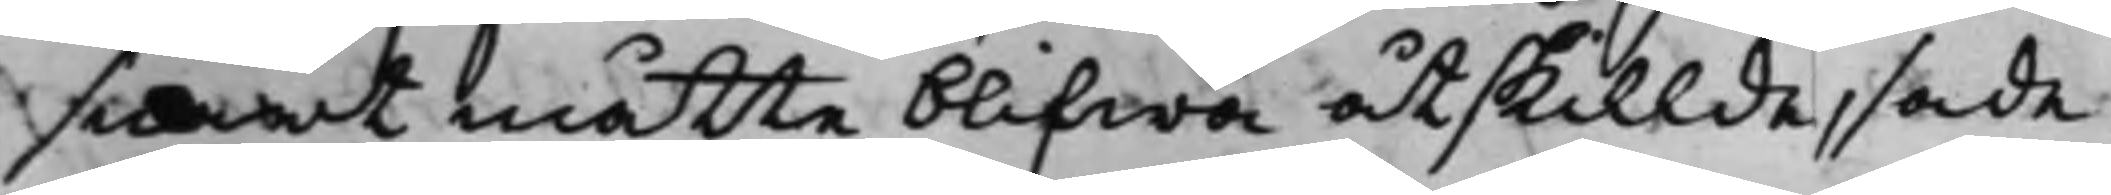snart måtte blifwa åtskillde, sade
